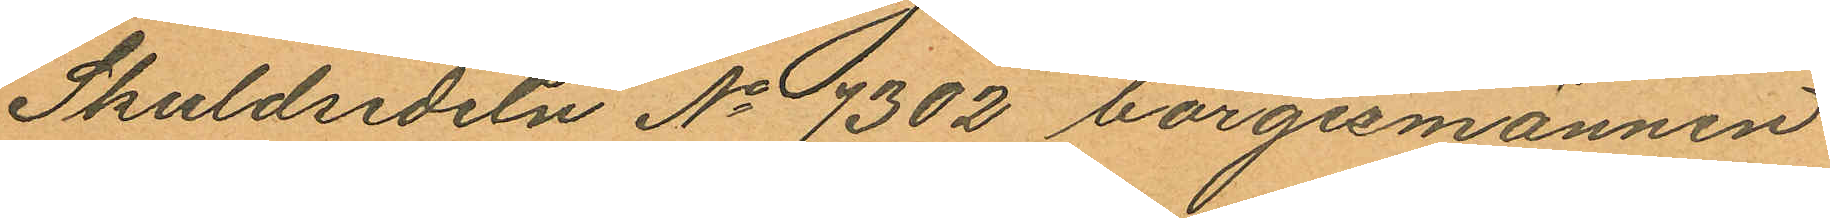Skuldsedeln No 7302 borgesmännen
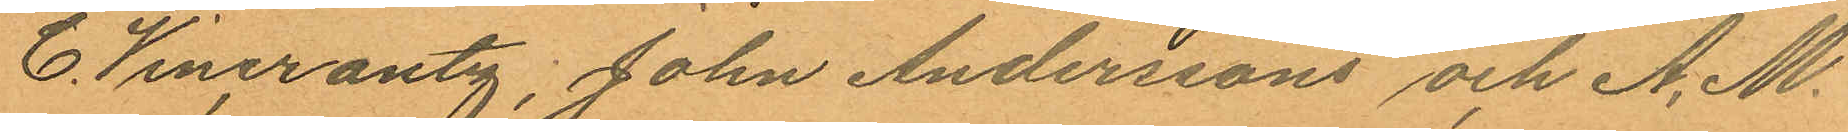C. Wincrantz, John Anderssons och A. M.
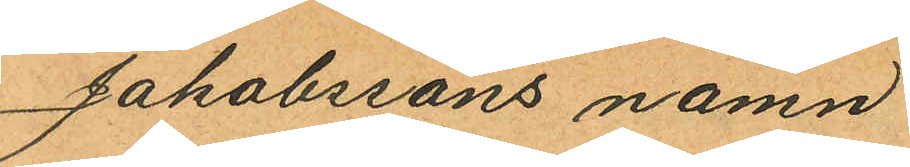Jakobssons namn
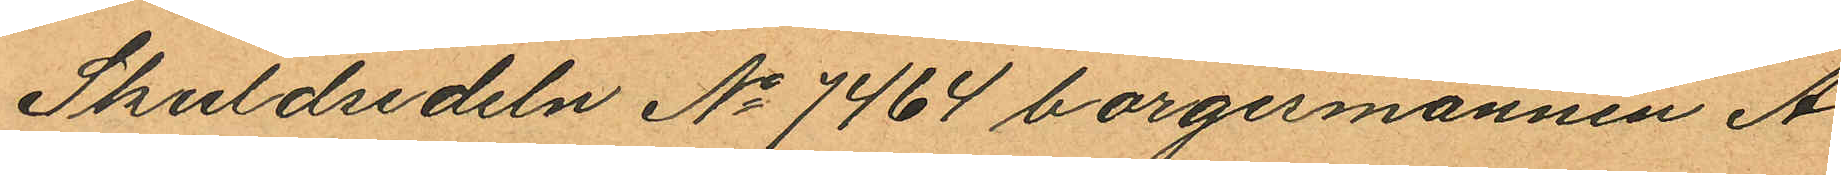Skuldsedeln No 7464 borgesmännen A.
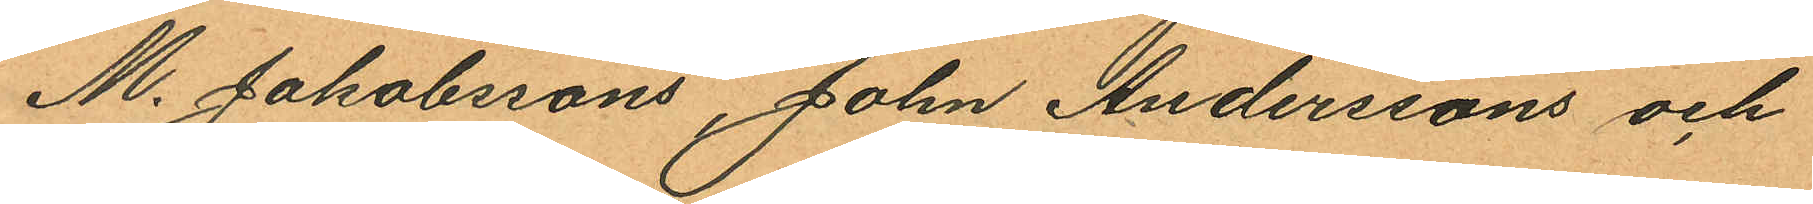M. Jakobssons, John Anderssons och
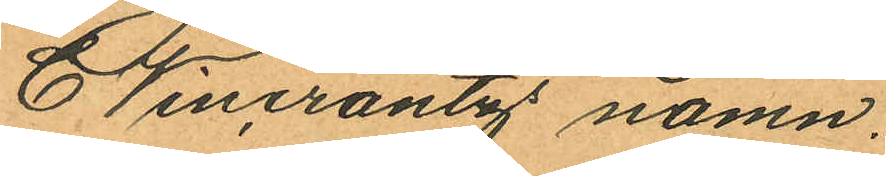C Wincrantz namn.
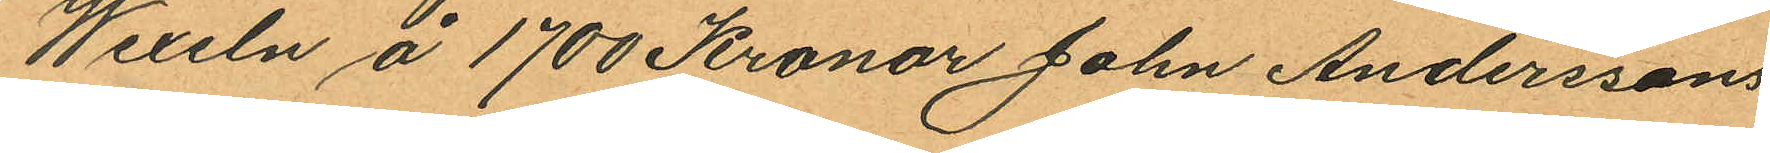Wexeln å 1700 Kronor John Anderssons
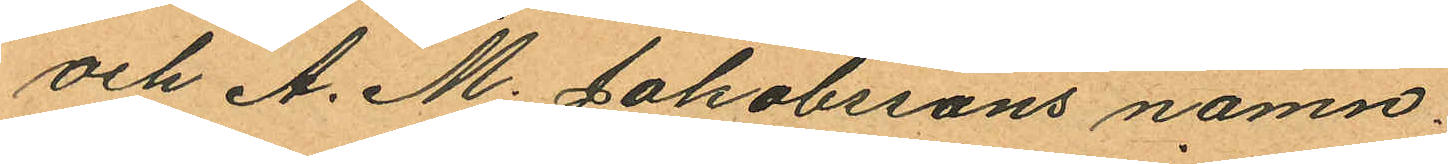och A. M. Jakobssons namn.
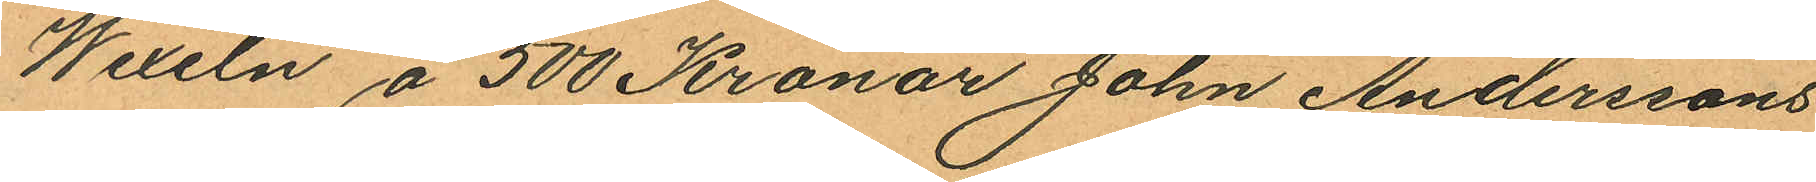Wexeln å 500 Kronor John Anderssons
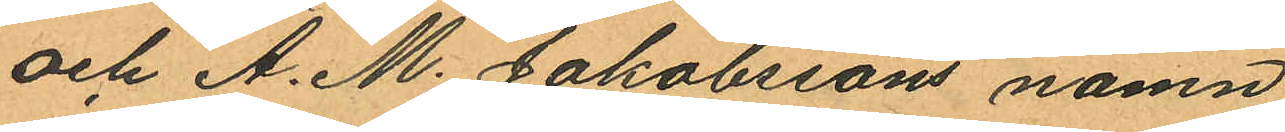och A. M. Jakobssons namn
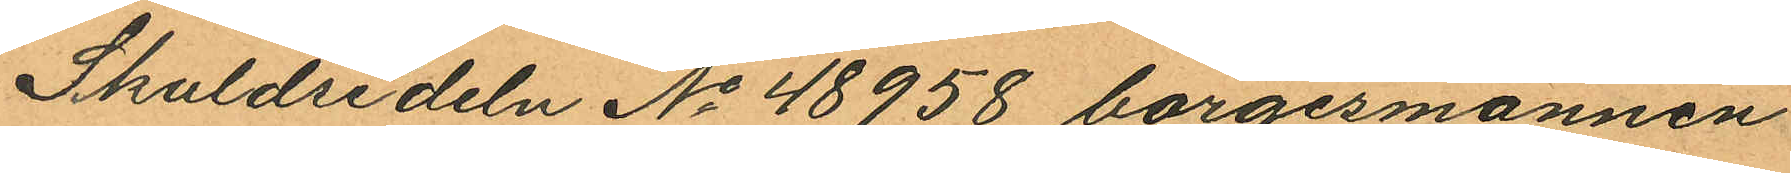Skuldsedeln No 48958 borgesmännen
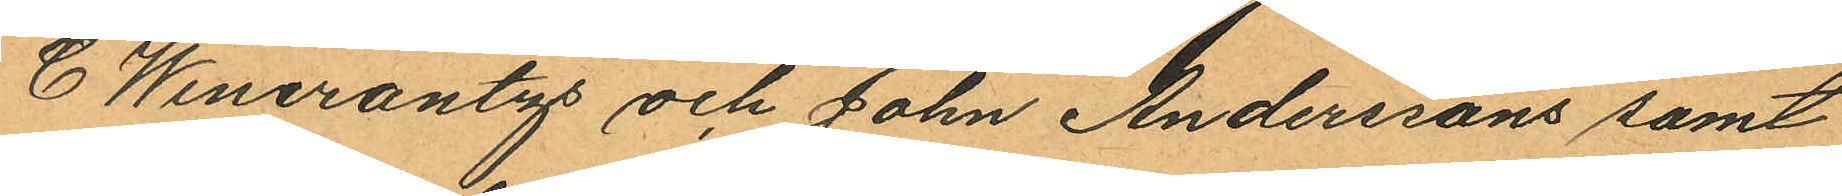C Wincrantzs och John Anderssons samt
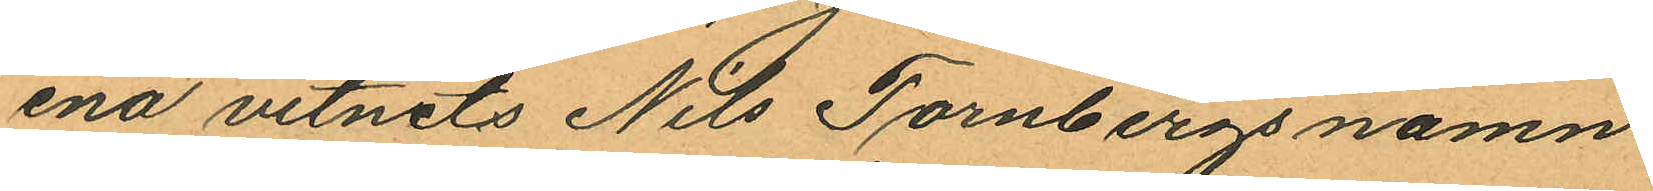ena vitnets Nils Tornbergs namn.
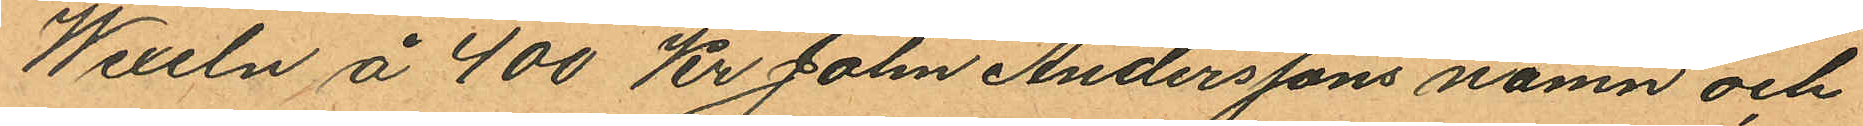Wexeln å 400 Kr Joln Anderssons namn och
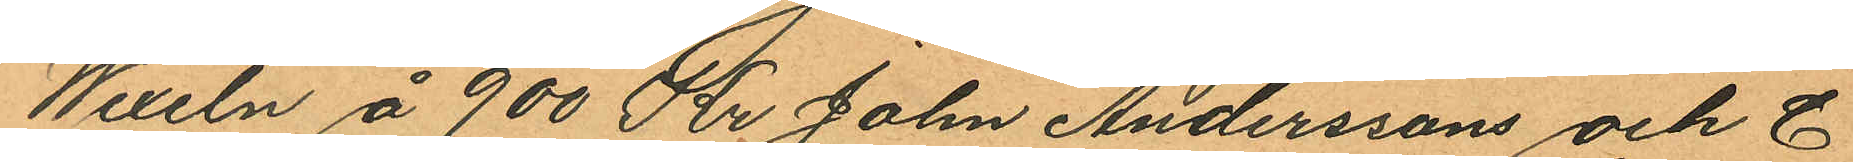Wexeln å 900 Kr John Anderssons och C
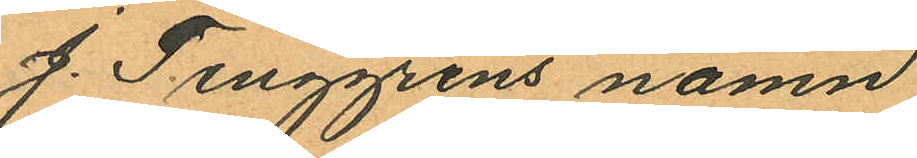J. Tinggrens namn;
